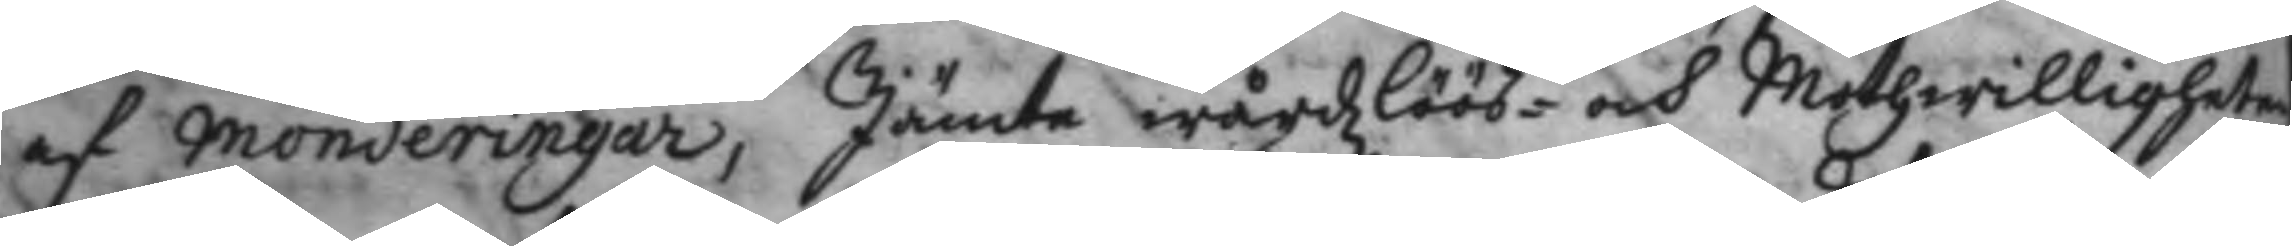af monderingar, Jämte wårdzlöös- och Mothwilligheter
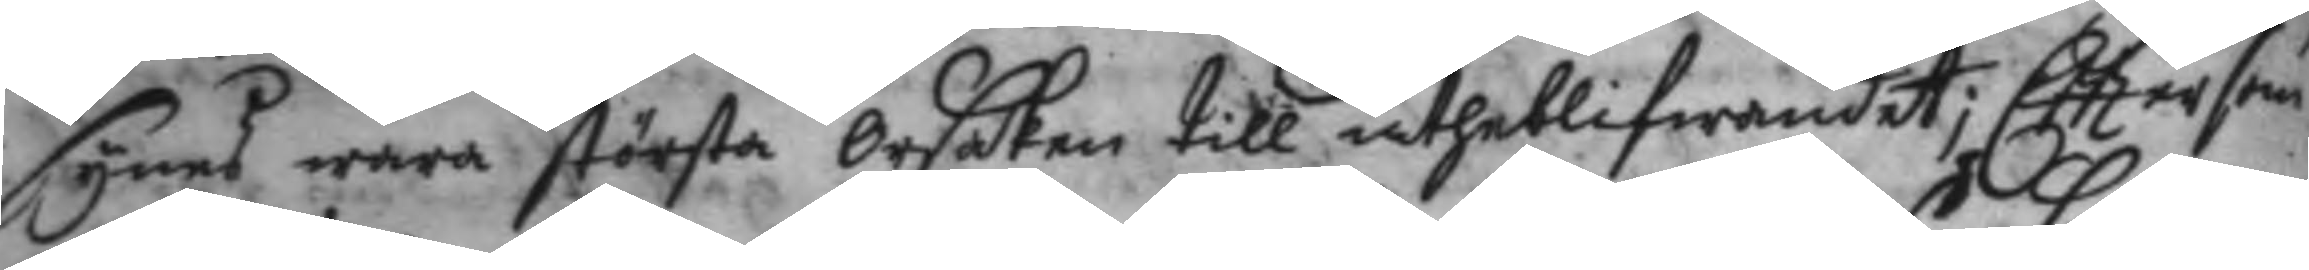synes wara största Orsaken till utheblifwandet; Efttersom
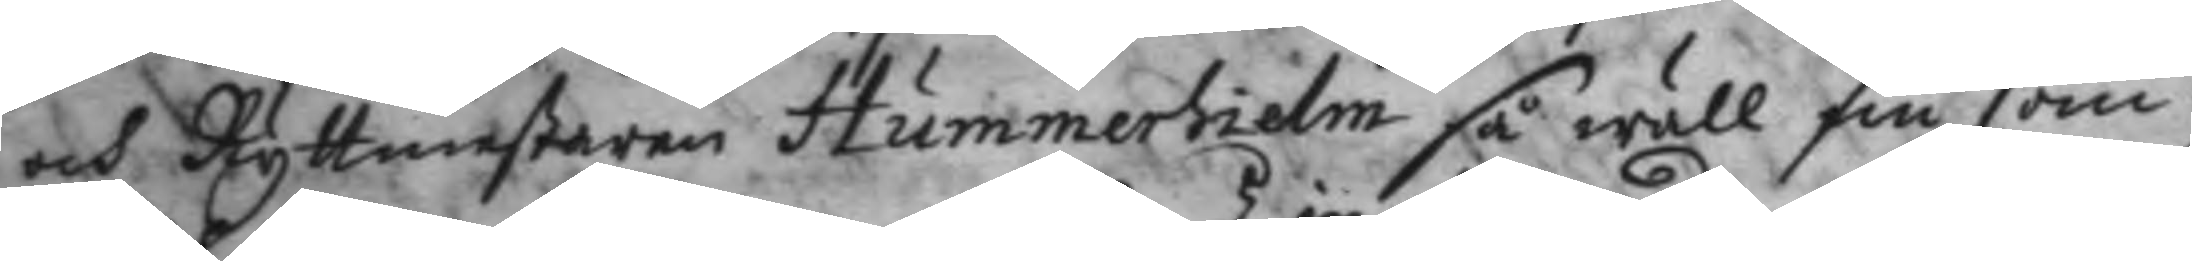och Ryttmestaren Hummerhielm så wäll sin som
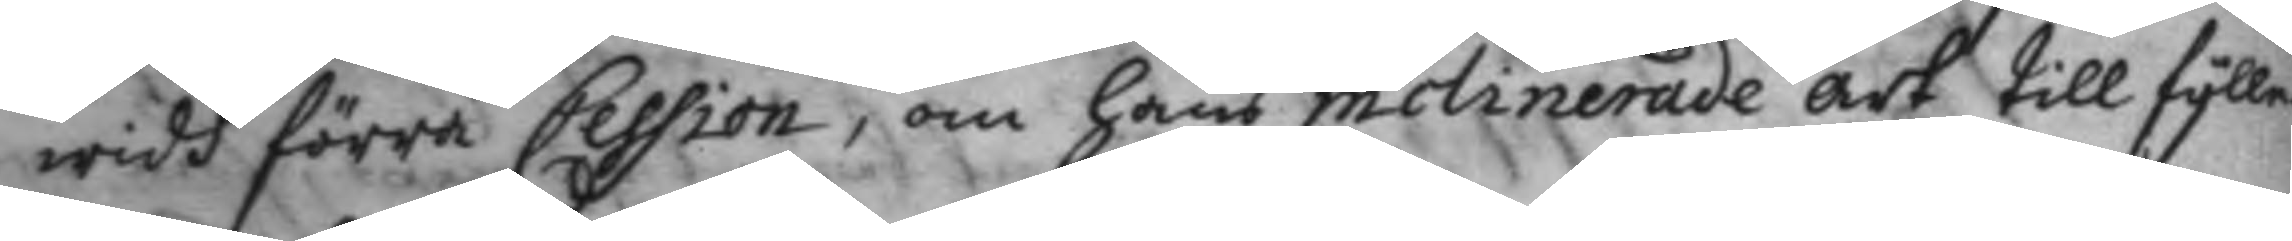widh förre Cession, om hans molinerade art till fylle¬
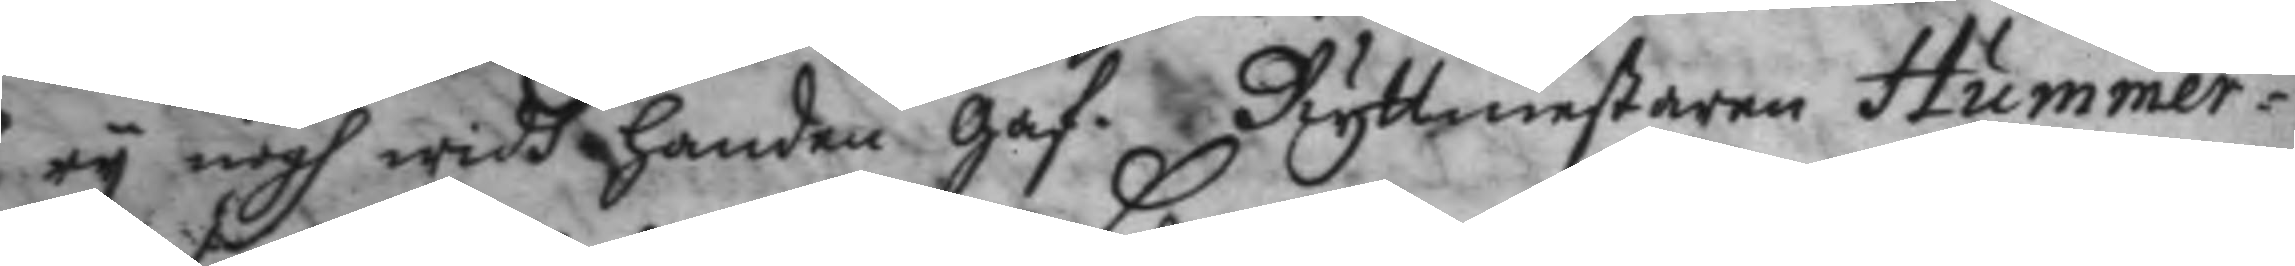ry nogh widh handen Gaf. Ryttmestaren Hummer¬
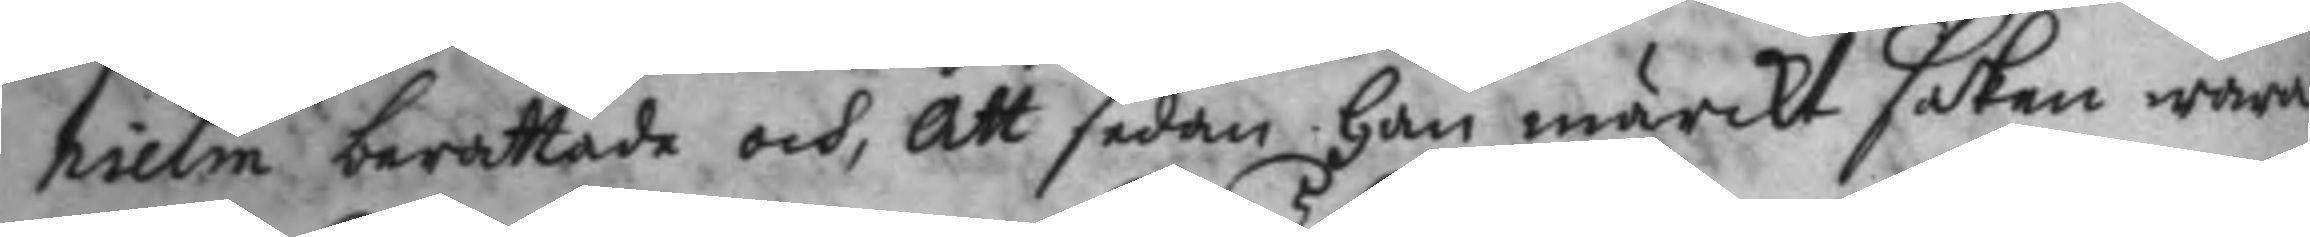hielm berättade och, Att sedan han märckt saken wara
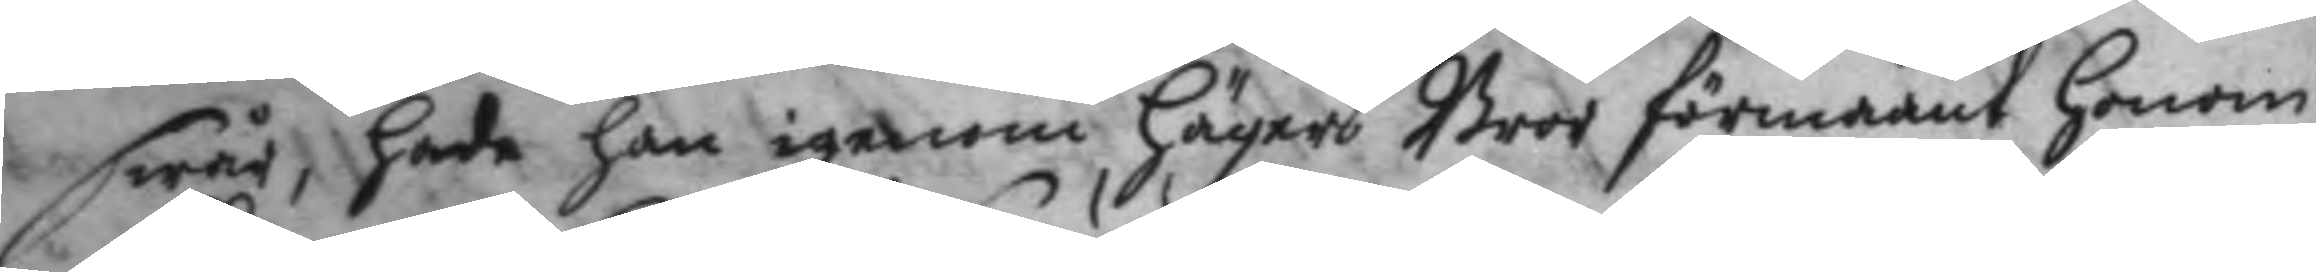swår, hade han igenom Hägers Bror förmaant Honom
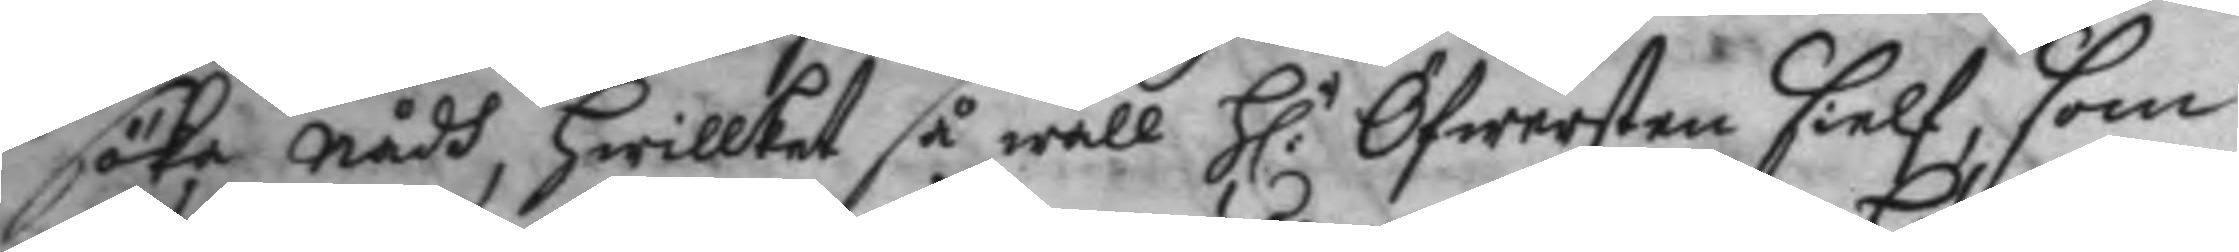söka nådh, hwilket så wäll H:r Öfwersten sielf, som 
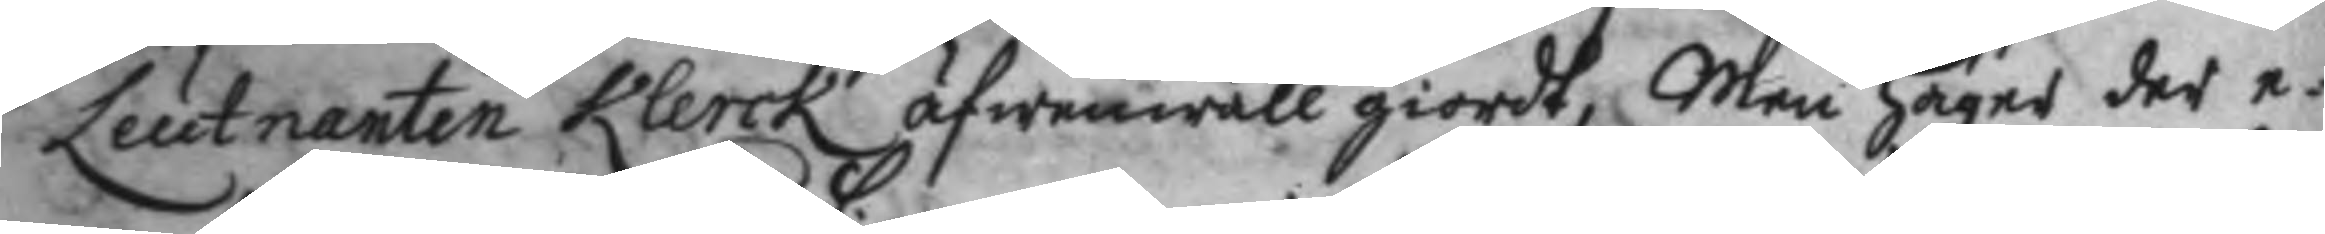Leutnanten Klerck äfwenwäll giordt, Men Häger der e¬
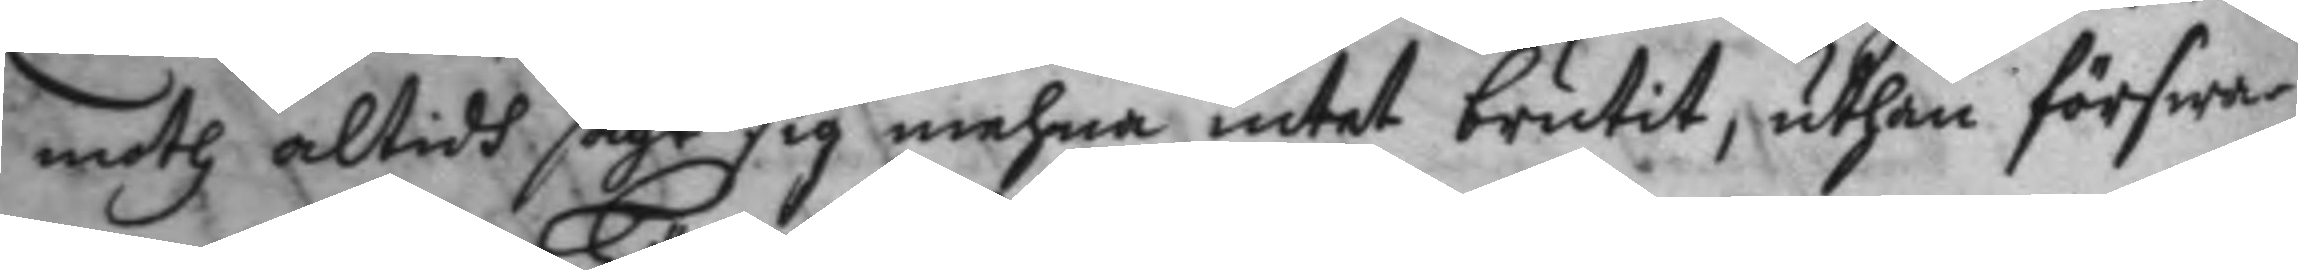moth altidh sagt sig mehna intet brutit, uthan förswar¬
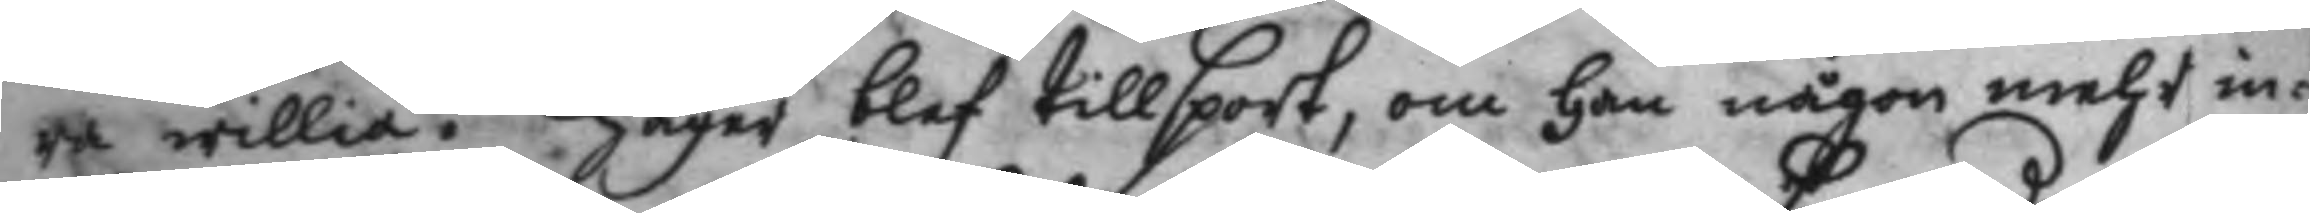ra willia. Häger blef tillsport, om han någon mehr in¬
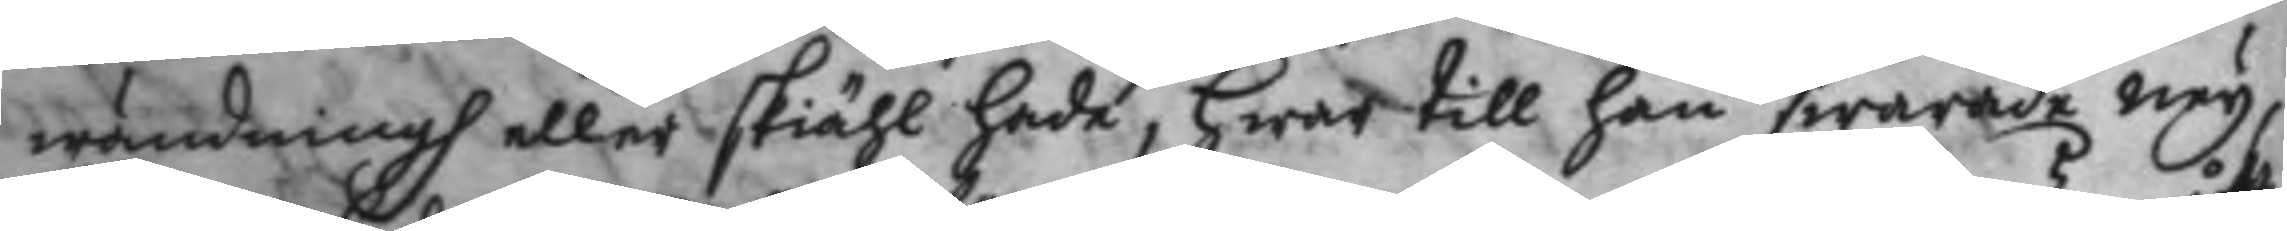wändningh eller skiähl hade, Hwar till han swarade ney,
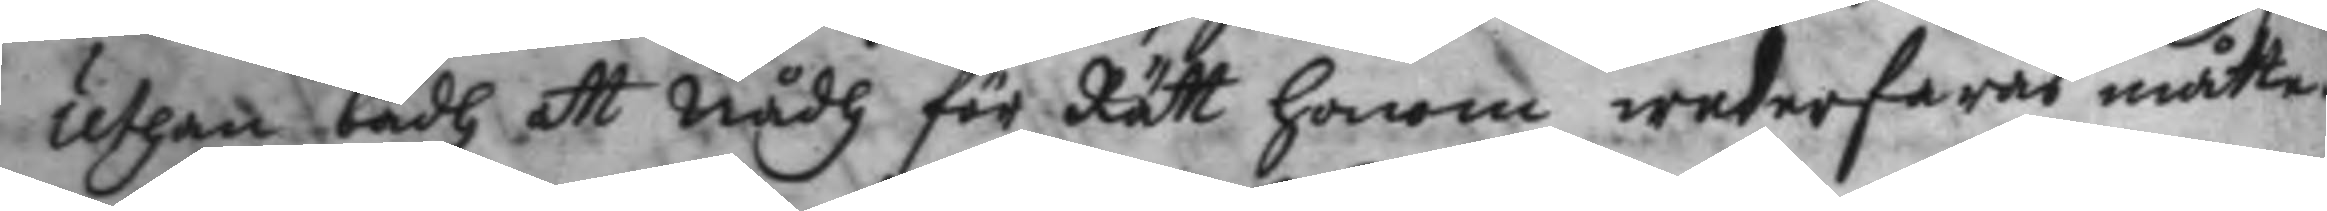uthan badh att nådh för Rätt honom wederfaras måtte.
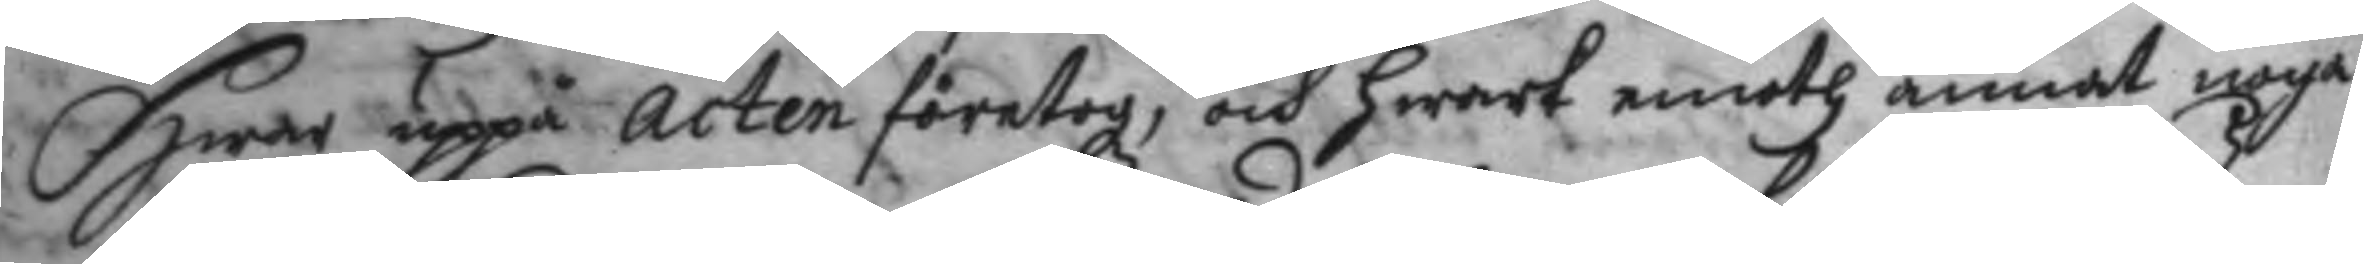Hwar uppå acten företogz, och hwart emoth annat noga
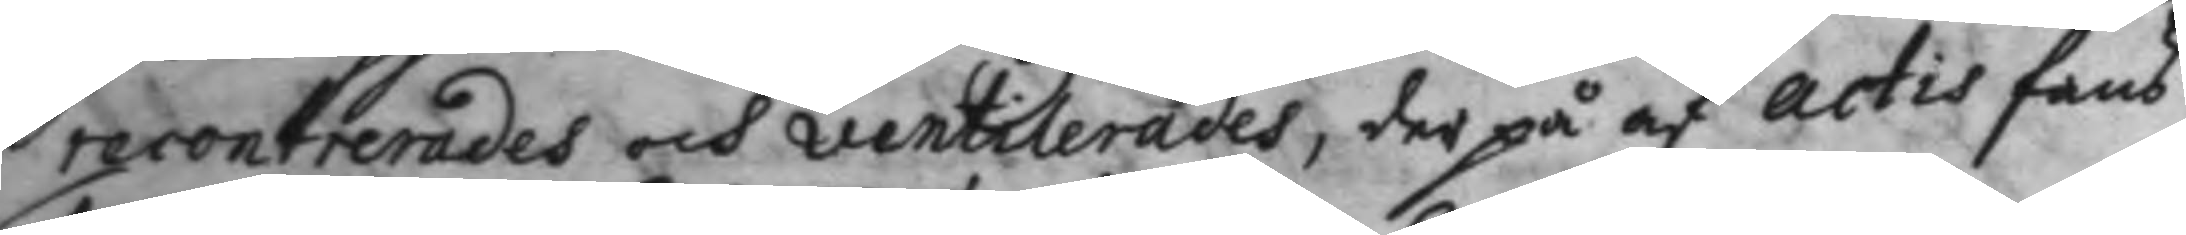recontrerades och ventilerades, der på af actis fans.
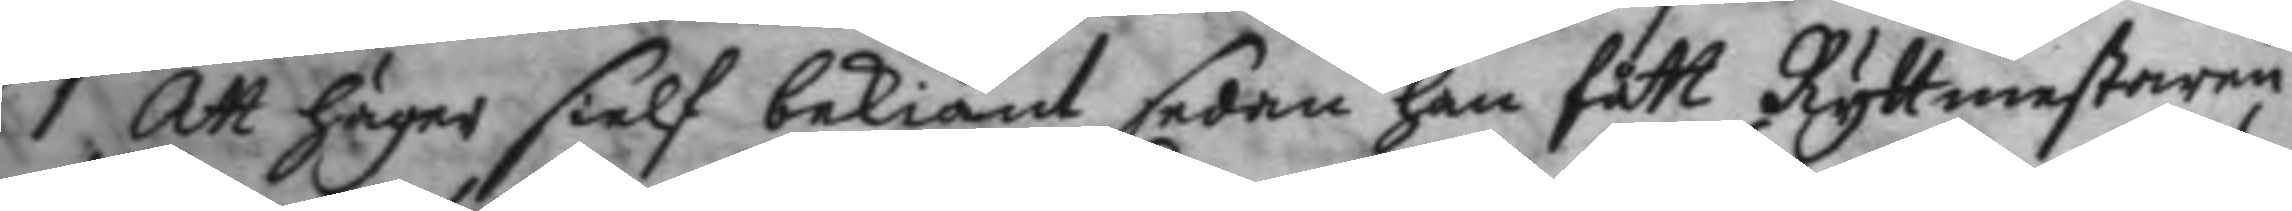1. Att häger sielf bekiänt sedan han fått Ryttmestaren
